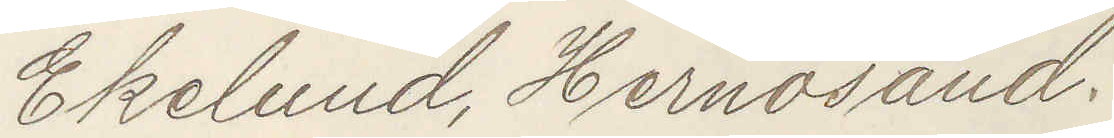Ekelund, Hernösand.
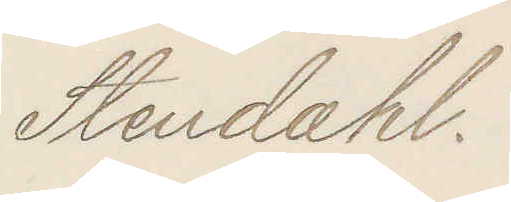Stendahl.
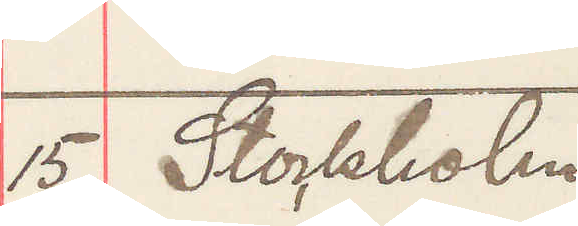15 Stockholm.
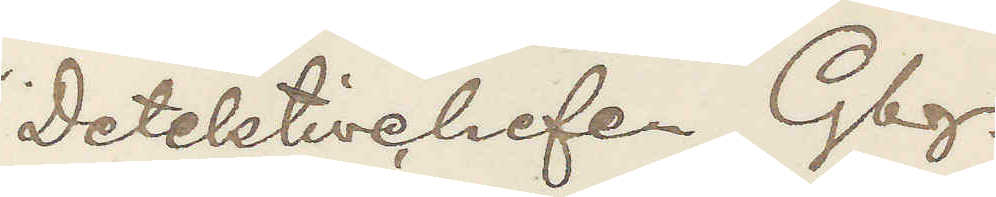Detektivchefen Gbg.
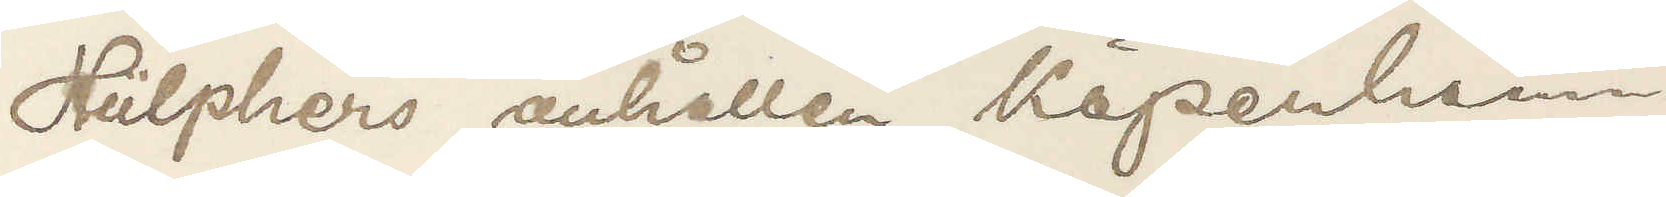Hülphers anhållen Köpenhamn
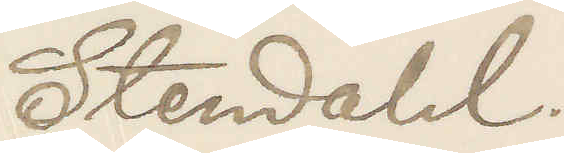Stendahl.
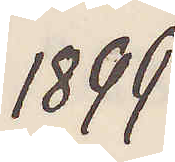1899
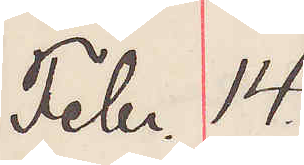Febr. 14.
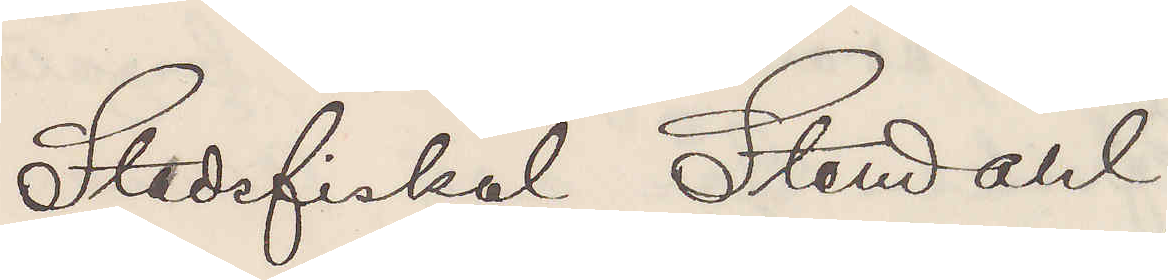Stadsfiskal Stendahl
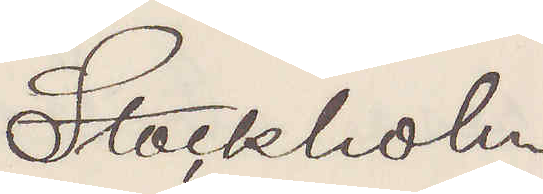Stockholm
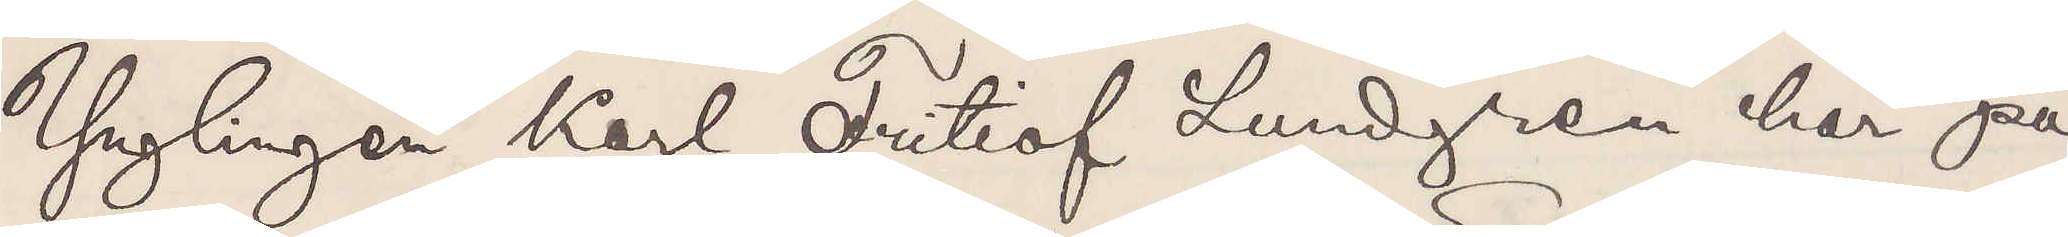Ynglingen Karl Fritiof Lundgren har på
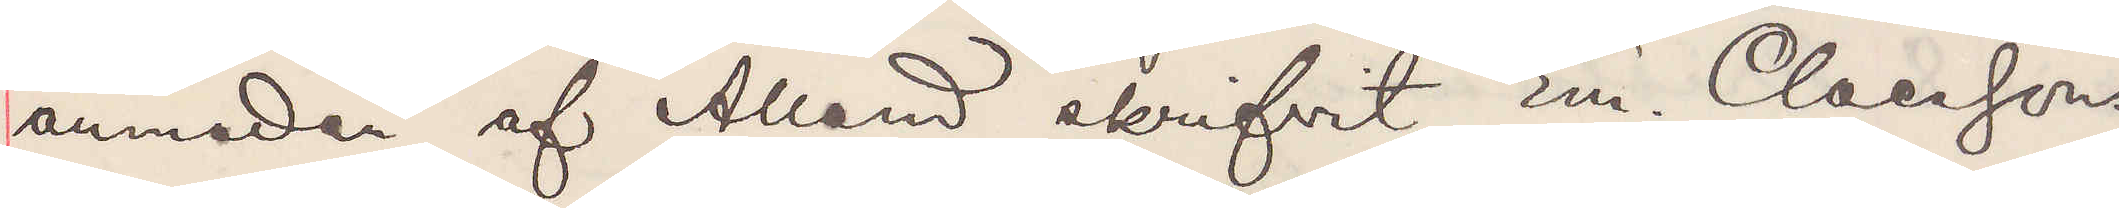anmodan af Allard skrifvit Em. Claessons
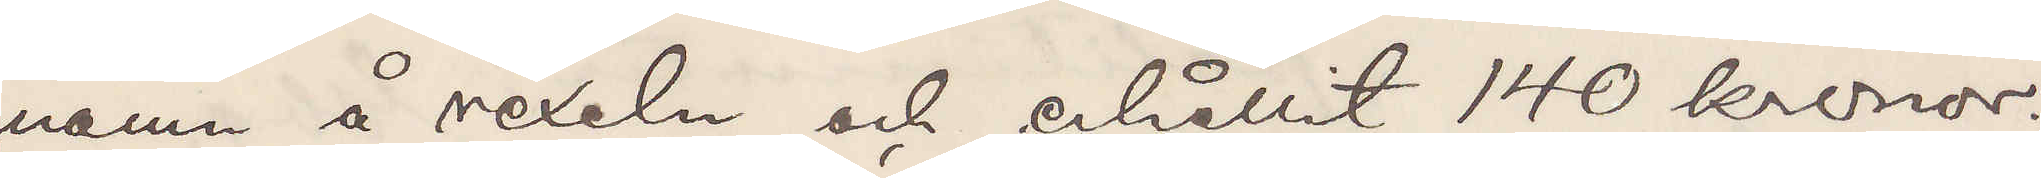namn å vexeln och erhållit 140 kronor.
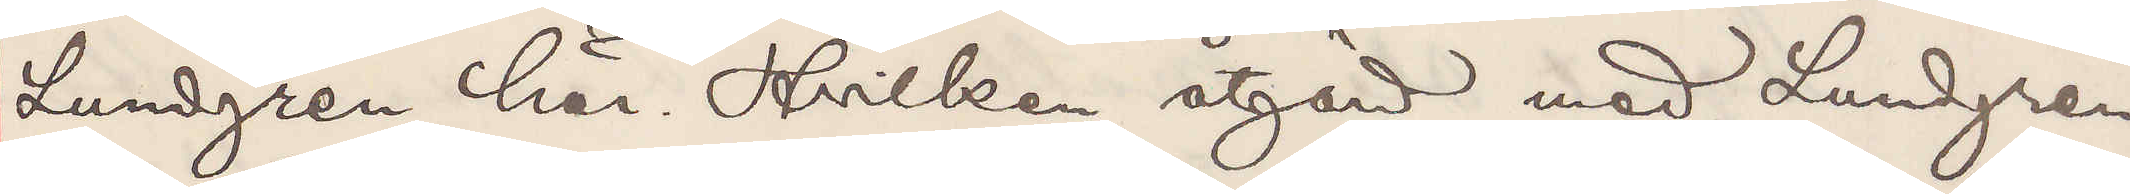Lundgren här Hvilken åtgärd med Lundgren,
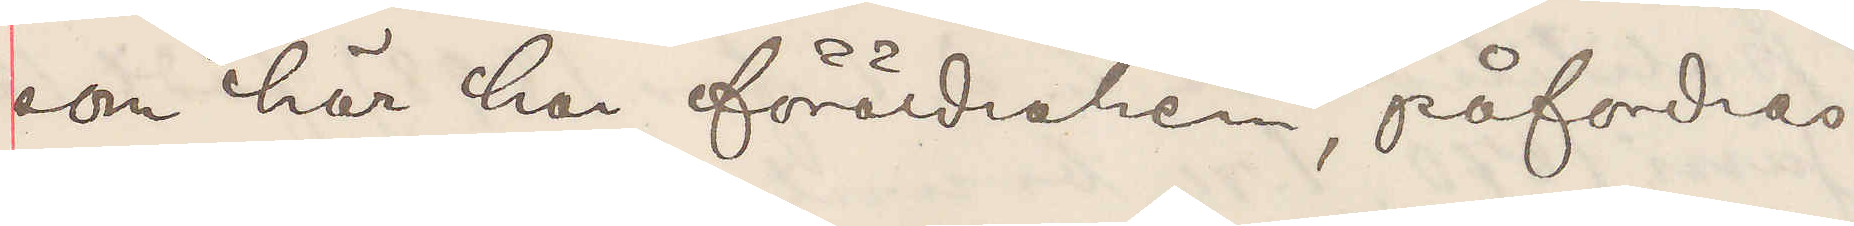som här har föräldrahem, påfordras
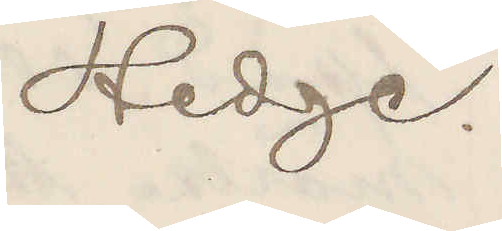Hedge.
